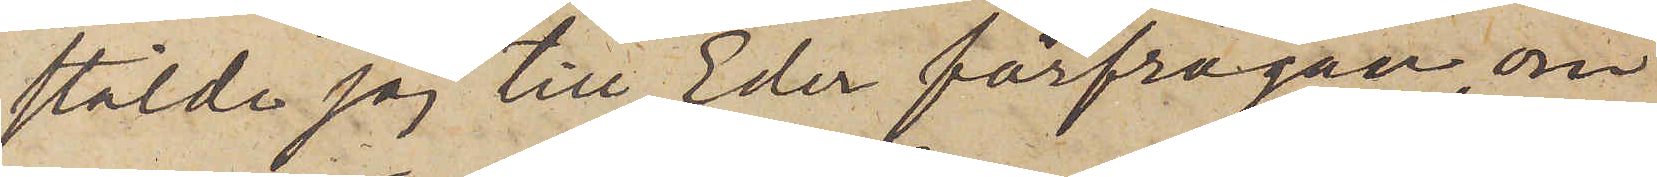stälde jag till Eder förfrågan, om
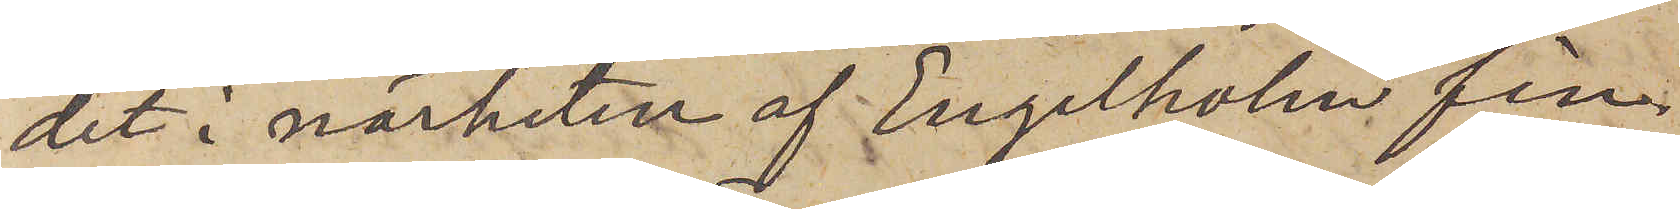det i närheten af Engelholm fin¬
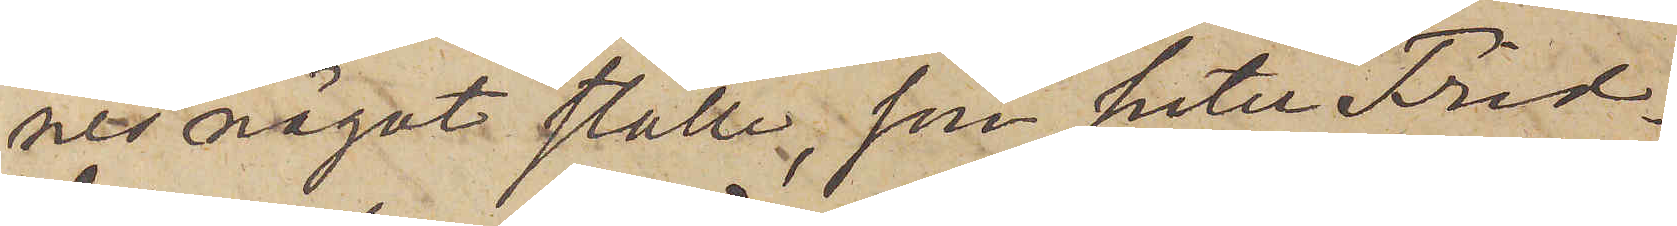nes något ställe, som heter Frid¬
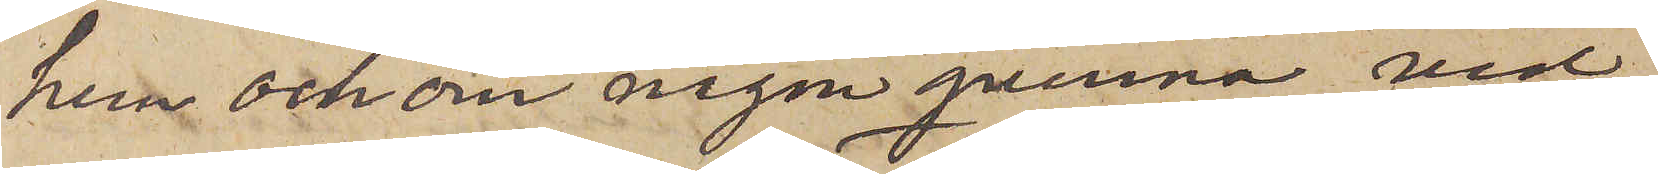hem och om någon qvinna vid
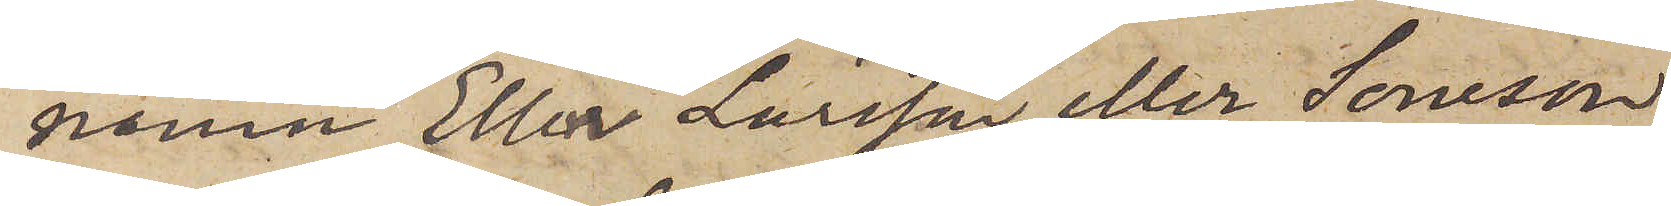namn Ella Larsson eller Soneson
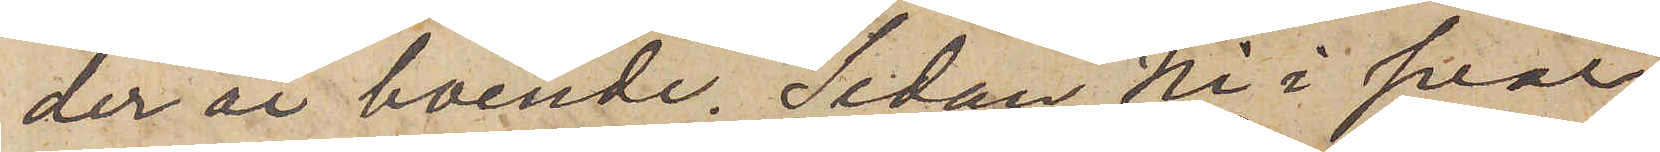der är boende. Sedan Ni i svar
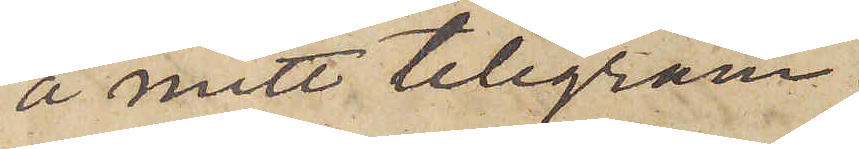å mitt telegram
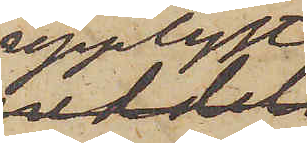upplyst,
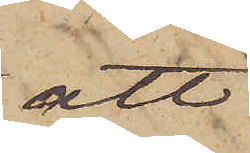att
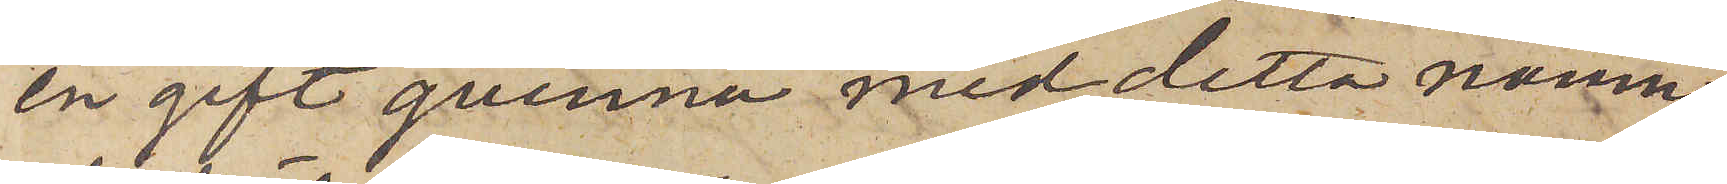en gift qvinna med detta namn
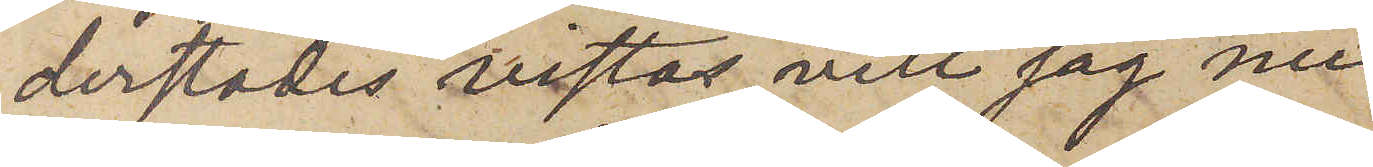derstädes vistas, vill jag nu
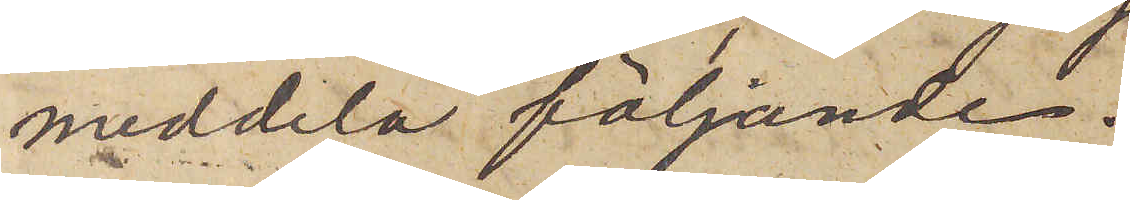meddela följande.
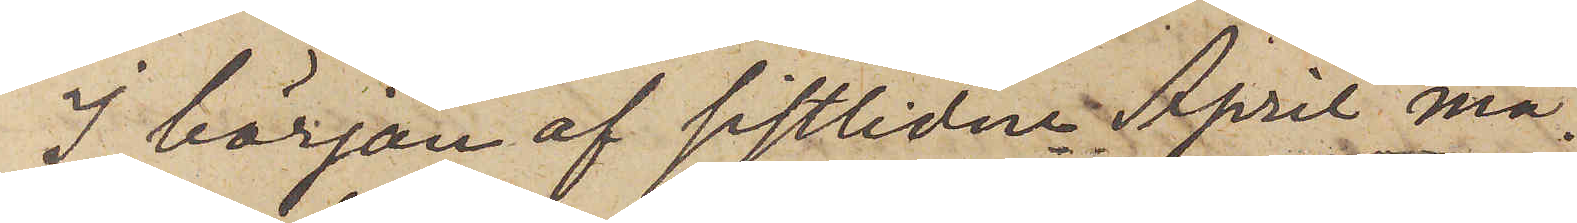I början af sistlidne April må¬
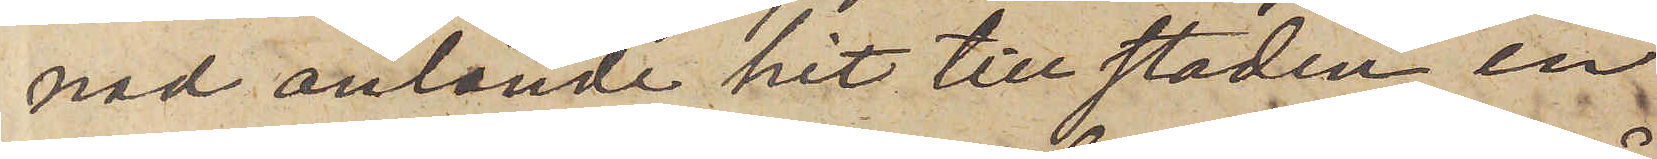nad anlände hit till staden en
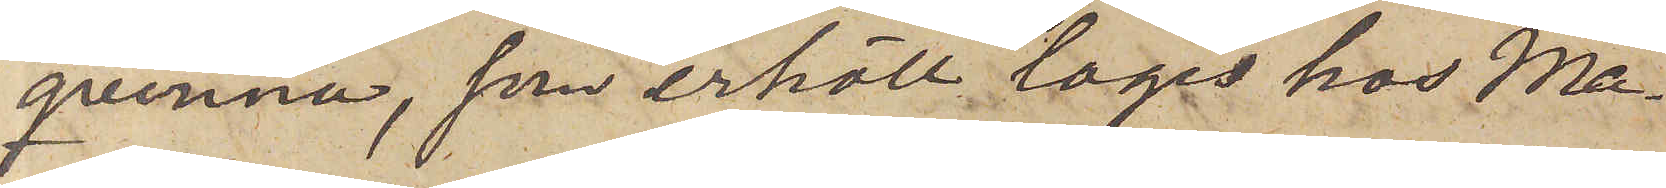qvinna, som erhöll logis hos Må¬
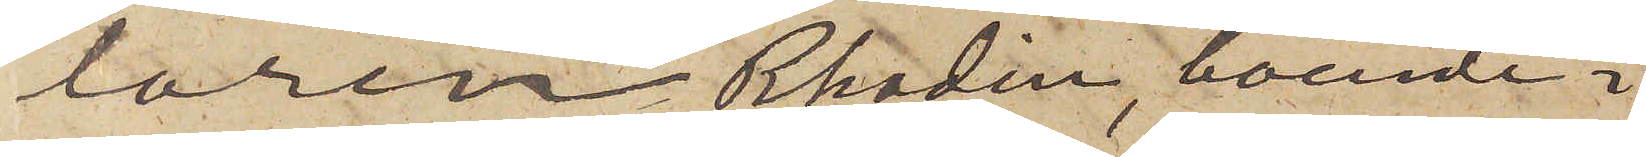laren Rhodin, boende i
